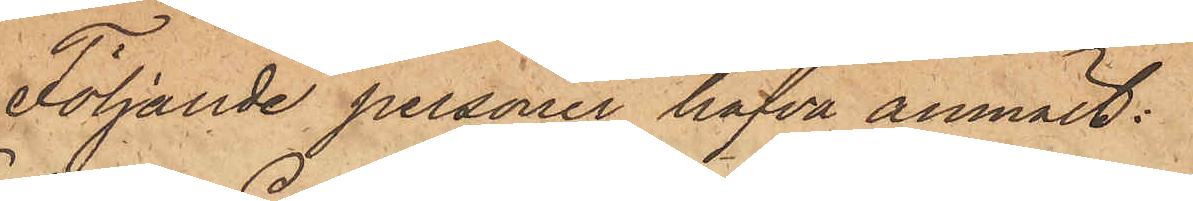Följande personer hafva anmält:
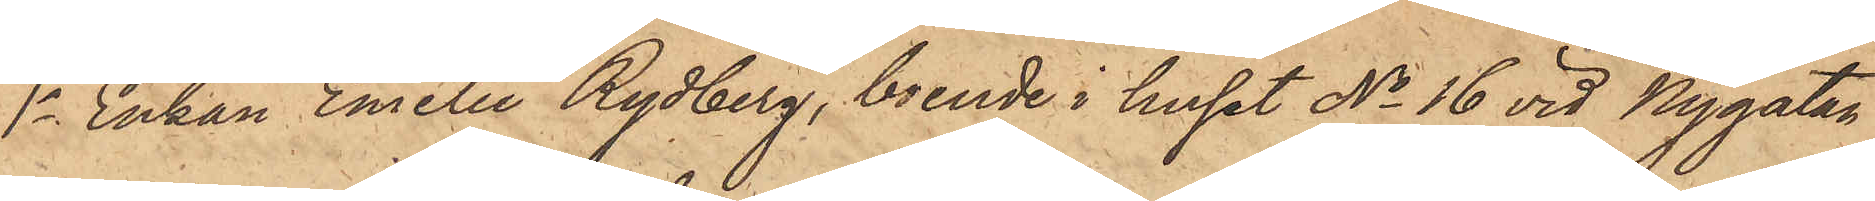1o Enkan Emelie Rydberg, boende i huset No 16 vid Nygatan
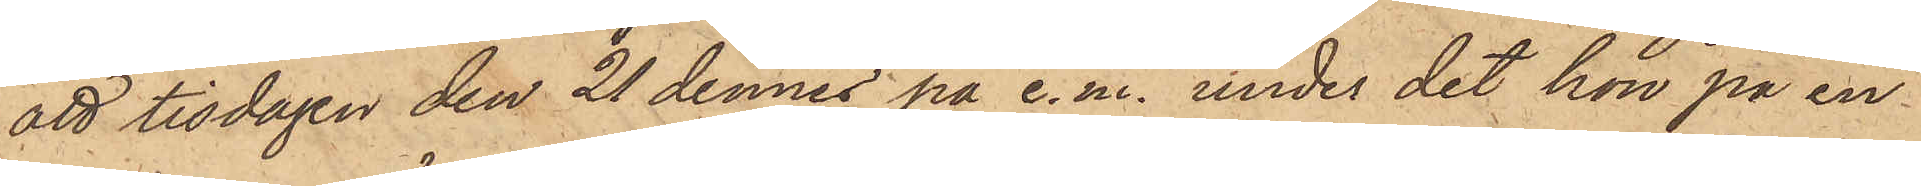att tisdagen den 21 dennes på e. m. under det hon på en
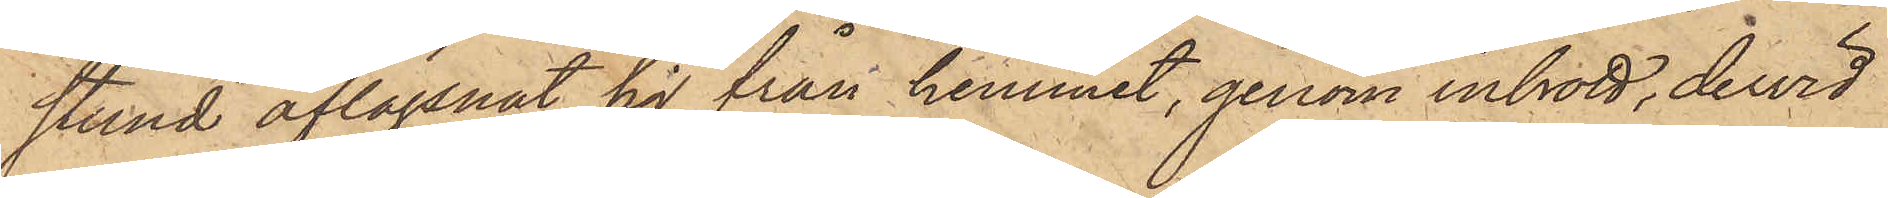stund aflägsnat sig från hemmet, genom inbrott, dervid
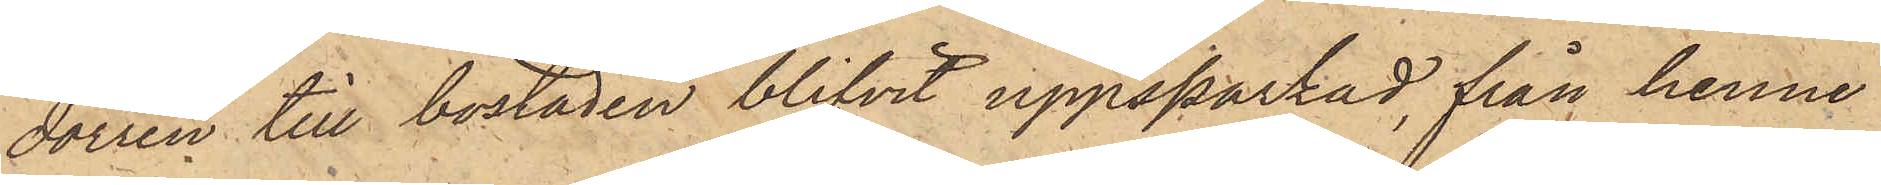dörren till bostaden blifvit uppsparkad, från henne
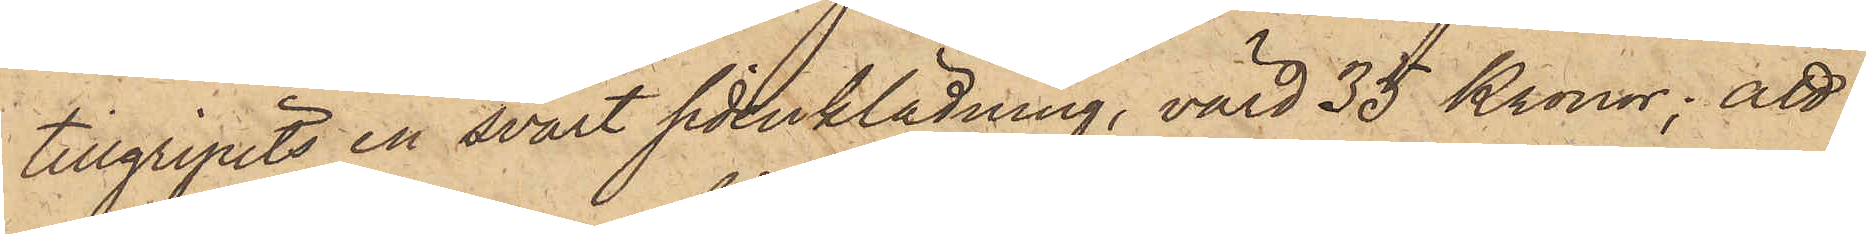tillgripits en svart sidenklädning, värd 35 Kronor; att
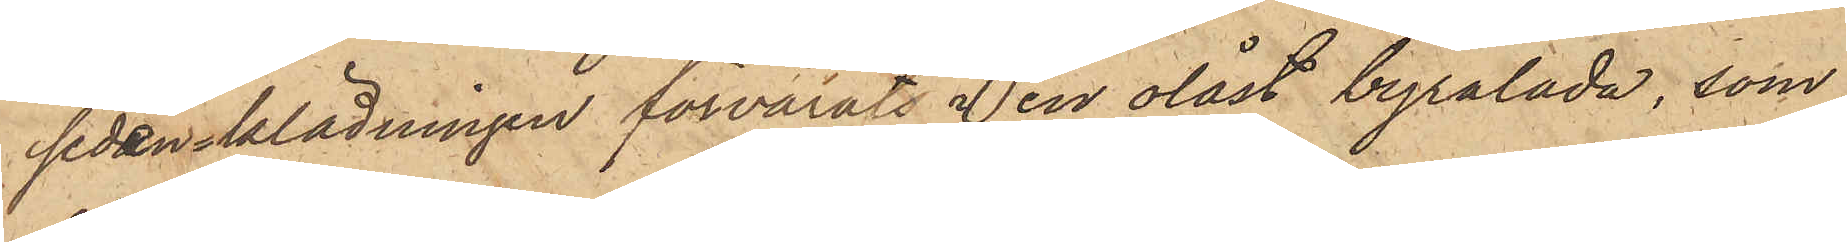sidenlädningen förvarats i en olåst byrålåda, som
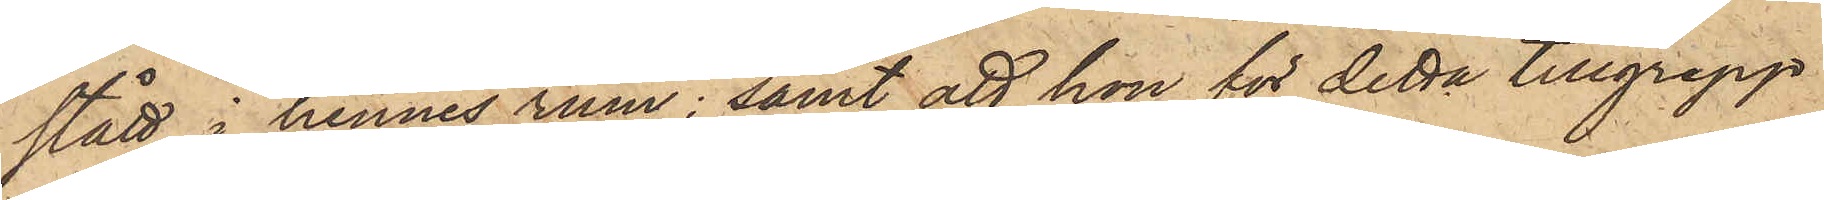stått i hennes rum; samt att hon för detta tillgrepp
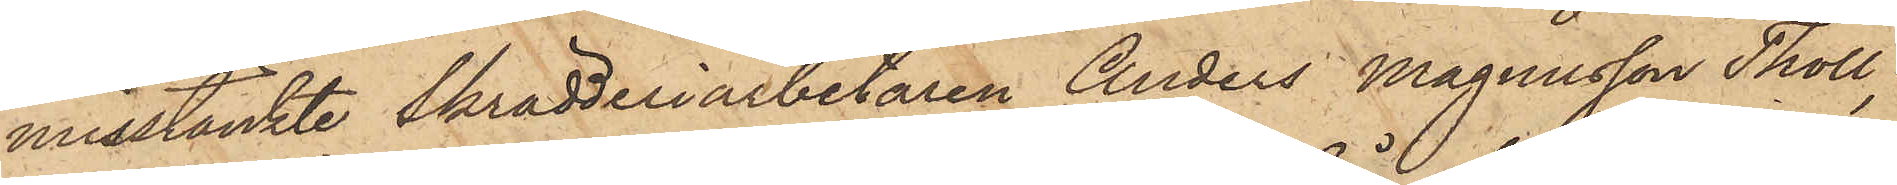misstänkte Skrädderiarbetaren Anders Magnusson Tholl,
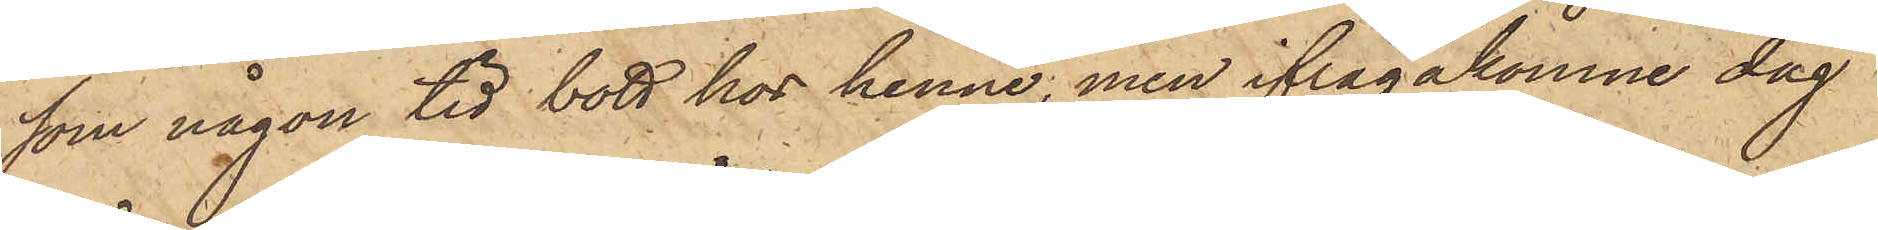som någon tid bott hos henne, men ifrågakomne dag
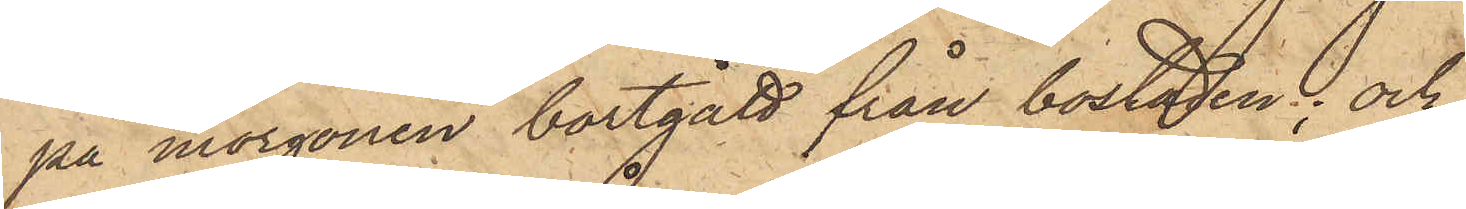på morgonen bortgått från bostaden; och
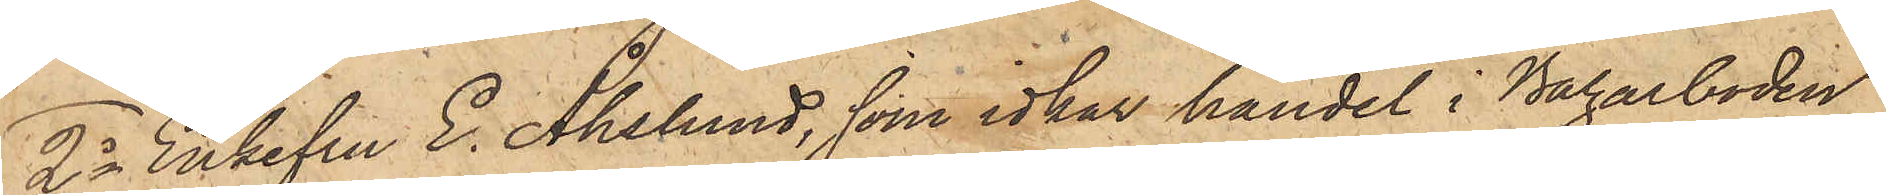2o Enkefru E. Åhslund, som idkar handel i Bazarboden
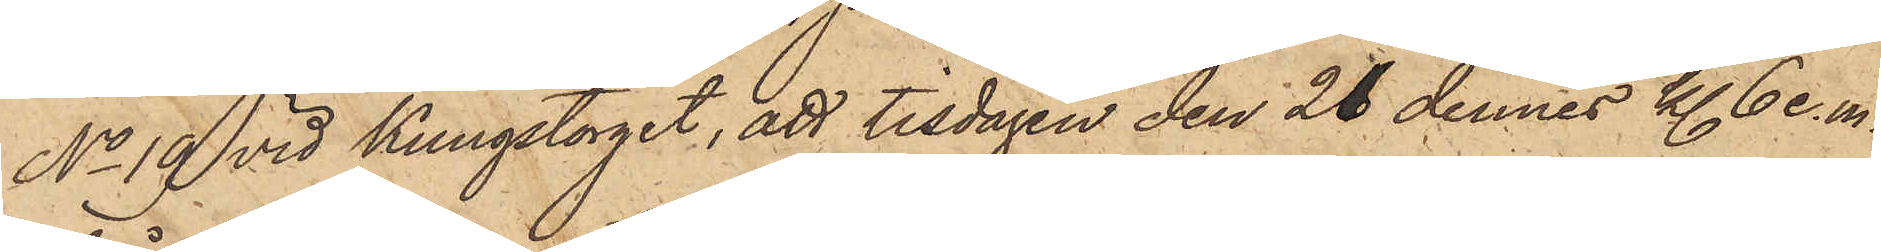No 19 vid Kungstorget, att tisdagen den 21 dennes kl. 6 e. m.
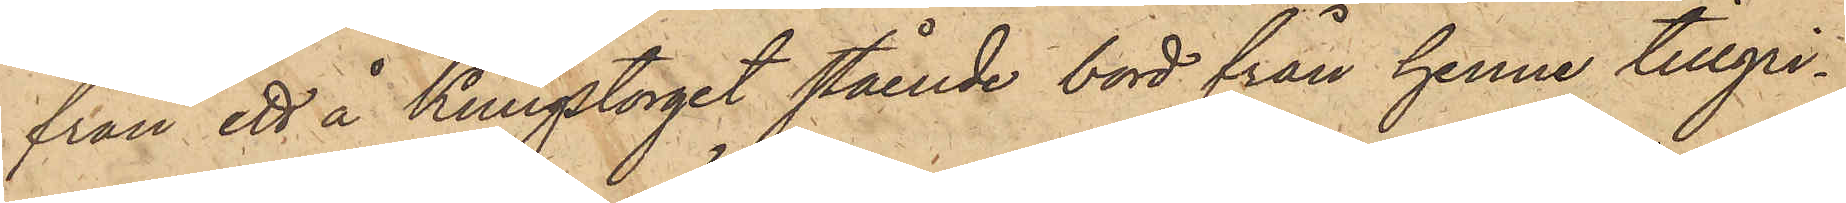från ett å Kungstorget stående bord från henne tillgri¬
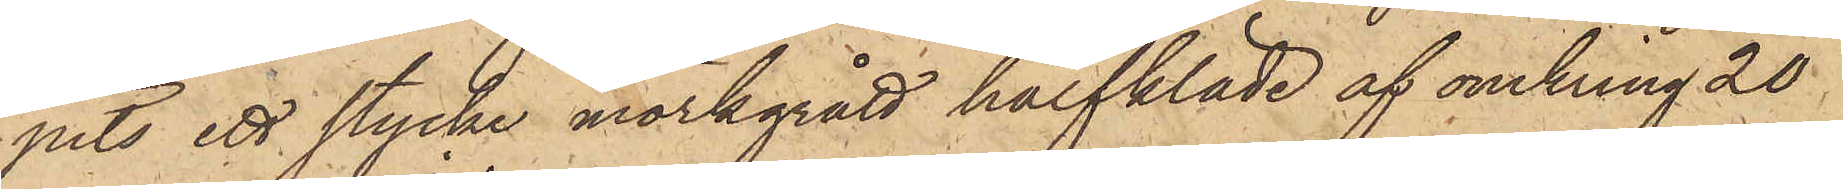pits ett stycke mörkgrått halfkläde af omkring 20
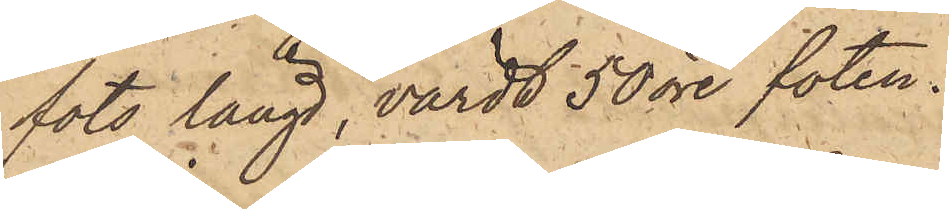fots längd, värdt 50 öre foten.
